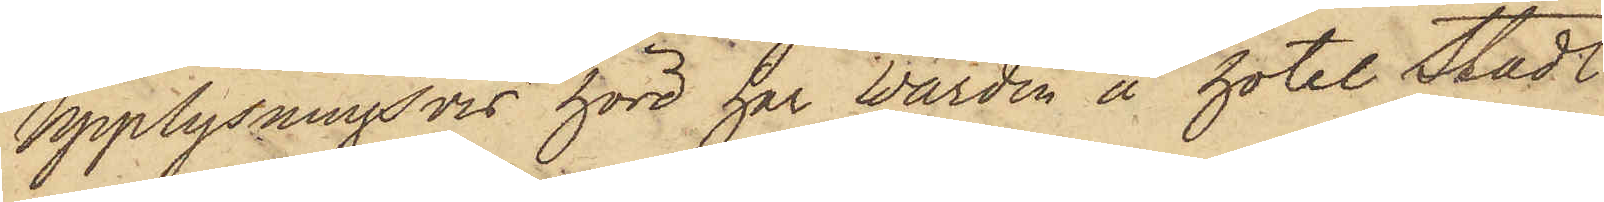Upplysningsvis hörd har Wärden å hotel Stadt
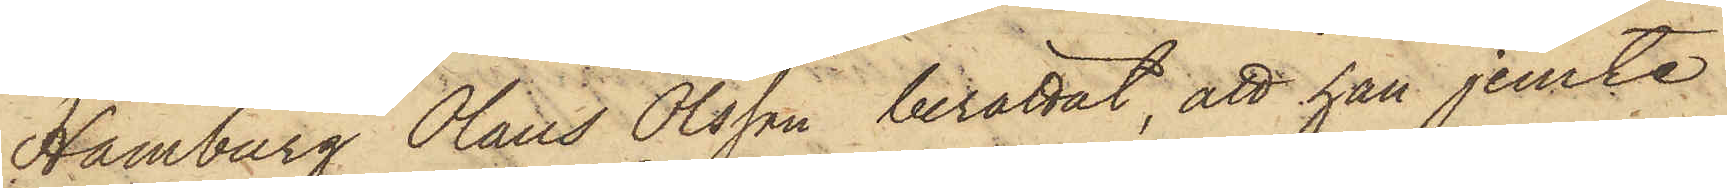Hamburg Olaus Olsson berättat, att han jemte
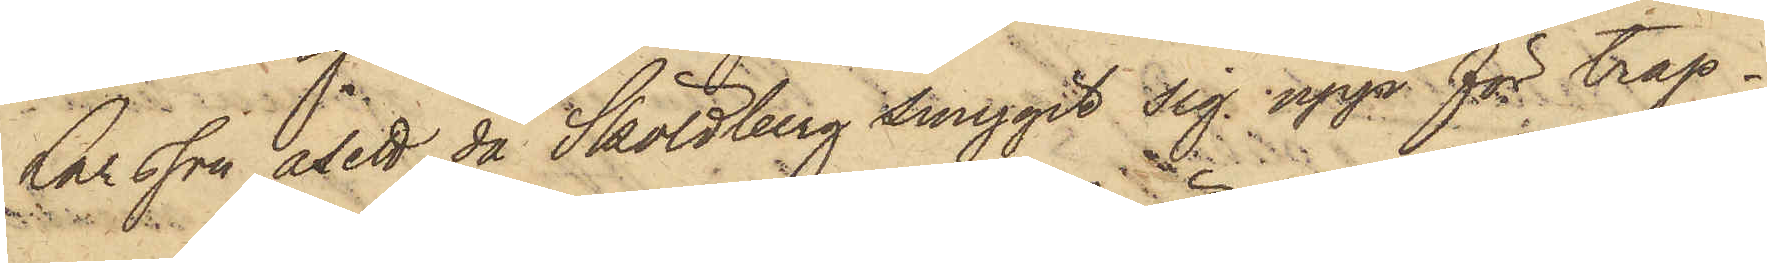Larsson åsett då Sköldberg smygit sig upp för trap¬
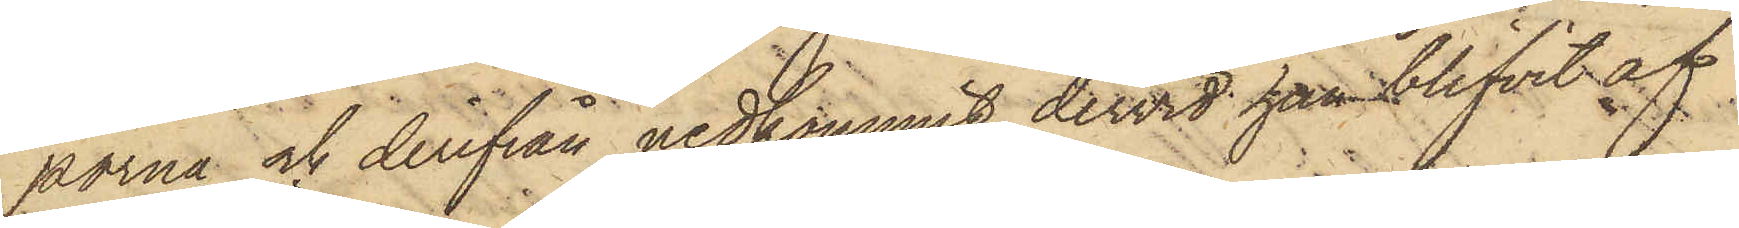porna och derifrån nedkommit, dervid han blifvit af
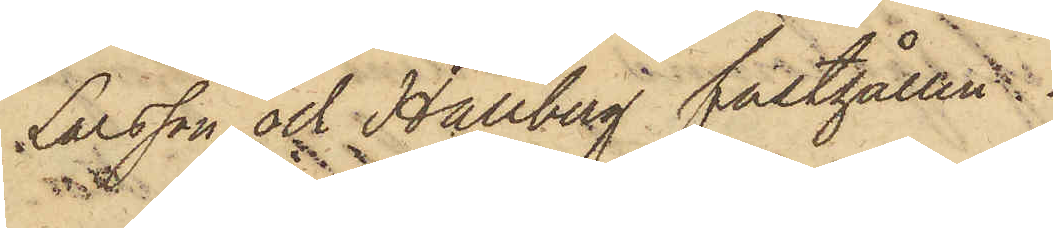Larsson och Hallberg fasthållen.
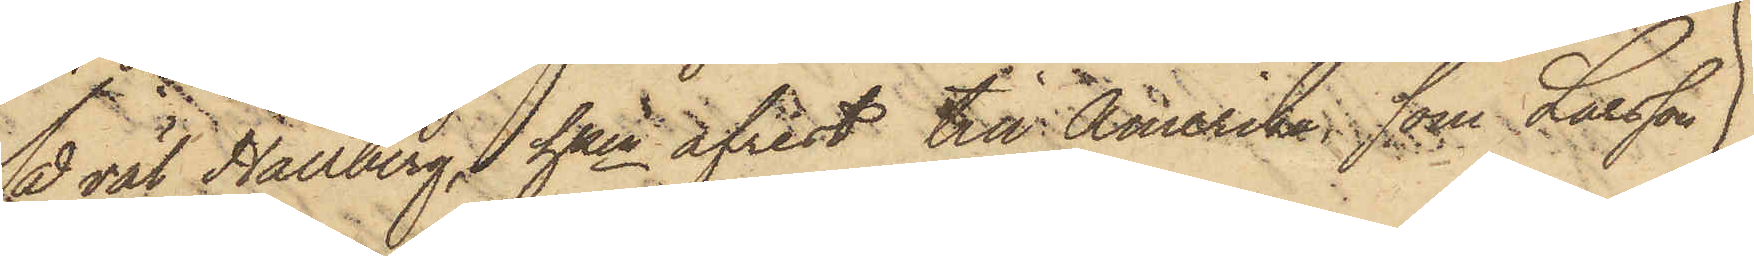Så väl Hallberg, hken afrest till Amerika, som Larsson
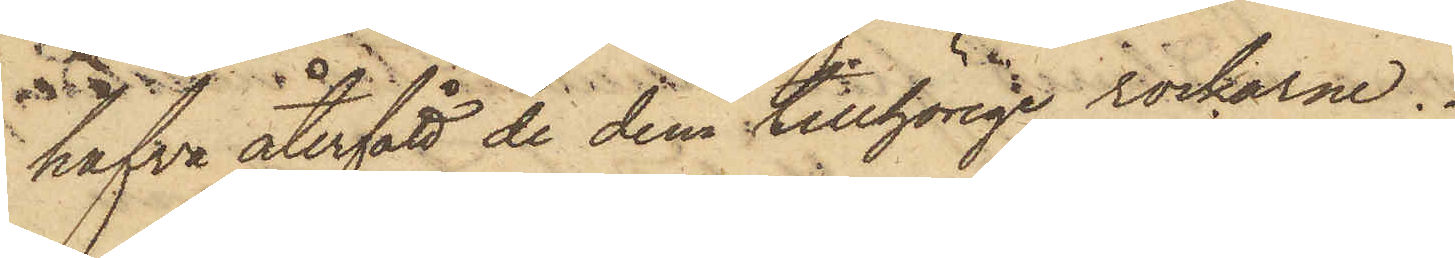hafva återfått de dem tillhörige rockarne.
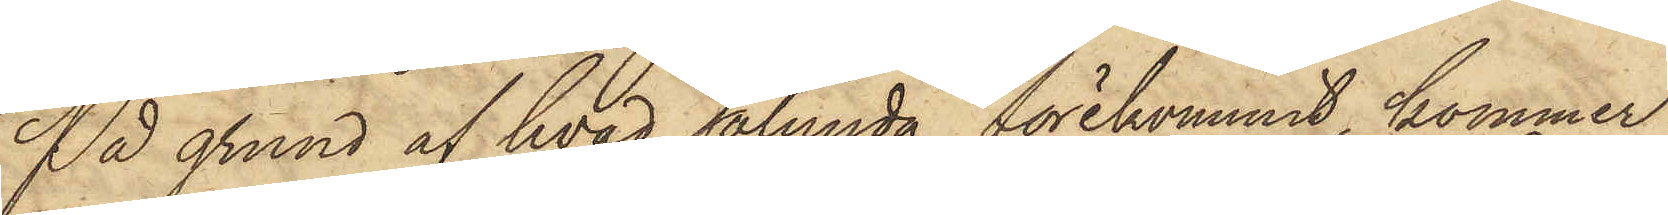På grund af hvad sålunda förekommit, kommer
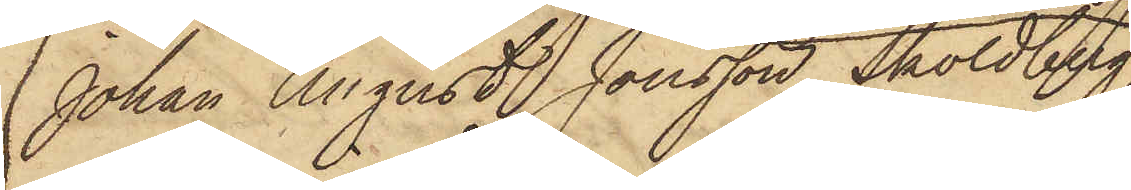Johan August Jonsson Sköldberg,
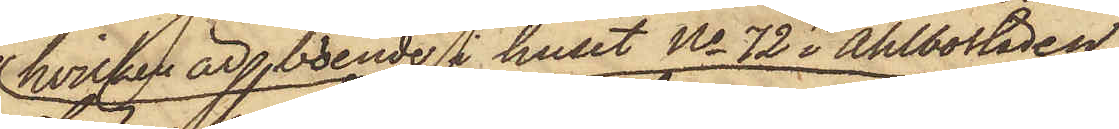hvilken är boende i huset No 72 i Ahlbostaden,
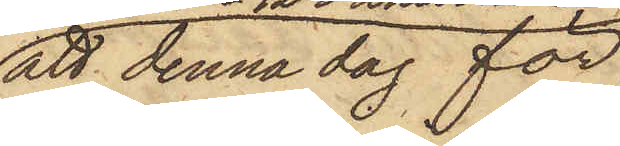att denna dag för
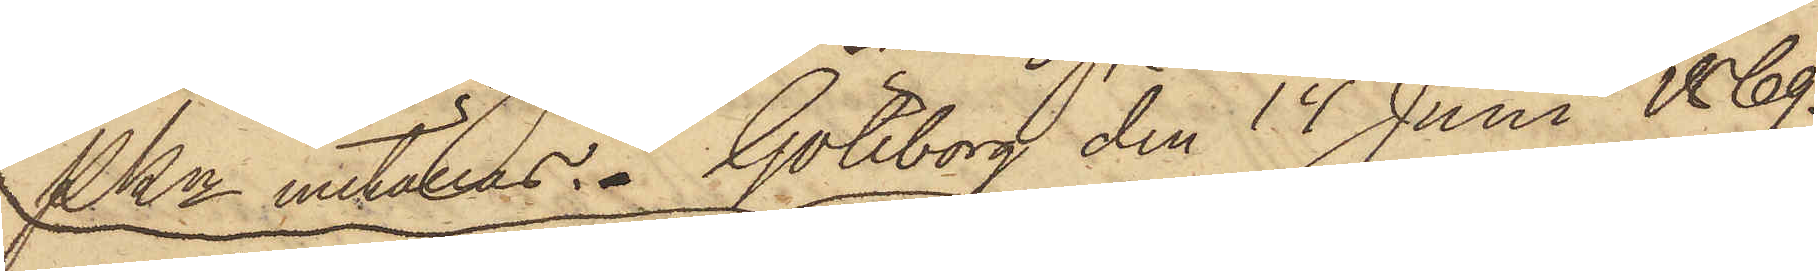PKn inställas. Göteborg den 14 Juni 1869.
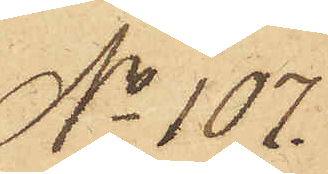No 107.
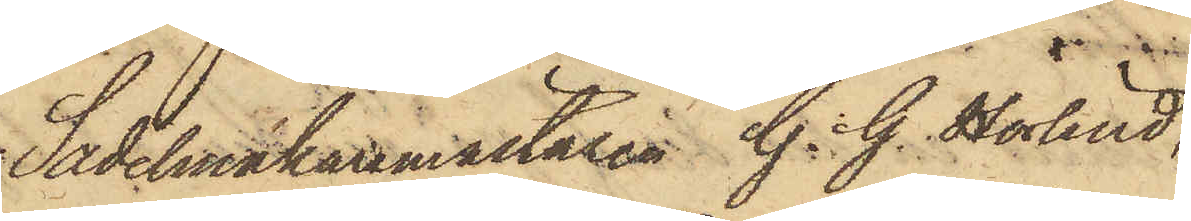Sadelmakaremästaren G. G. Hörlind,
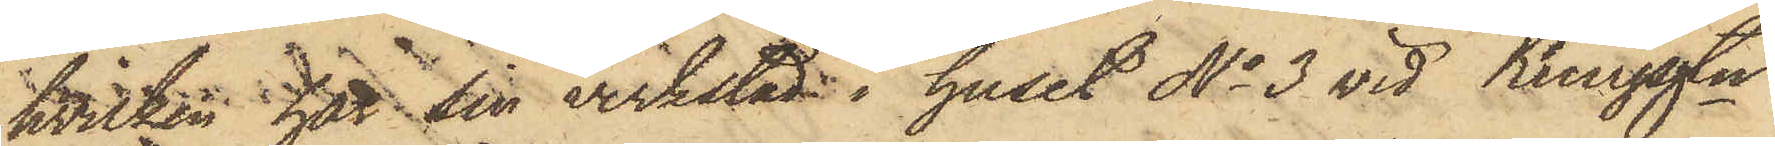hvilken har sin verkstad i huset No 3 vid Kungsgtn
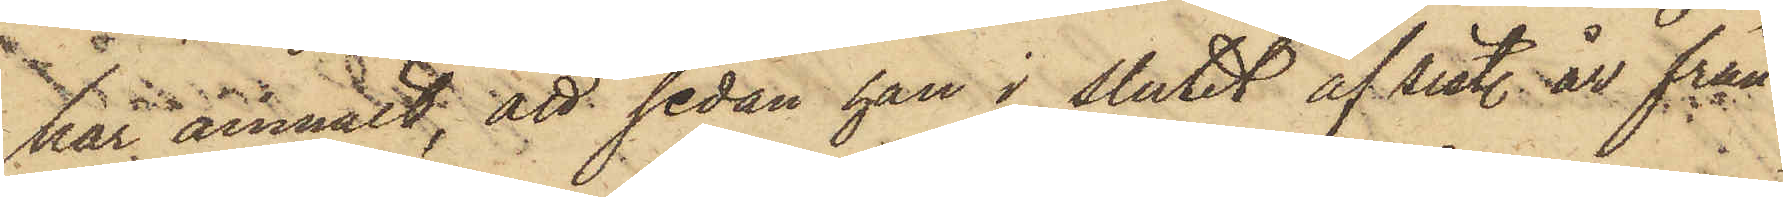har anmält, att sedan han i slutet af sist. år från
